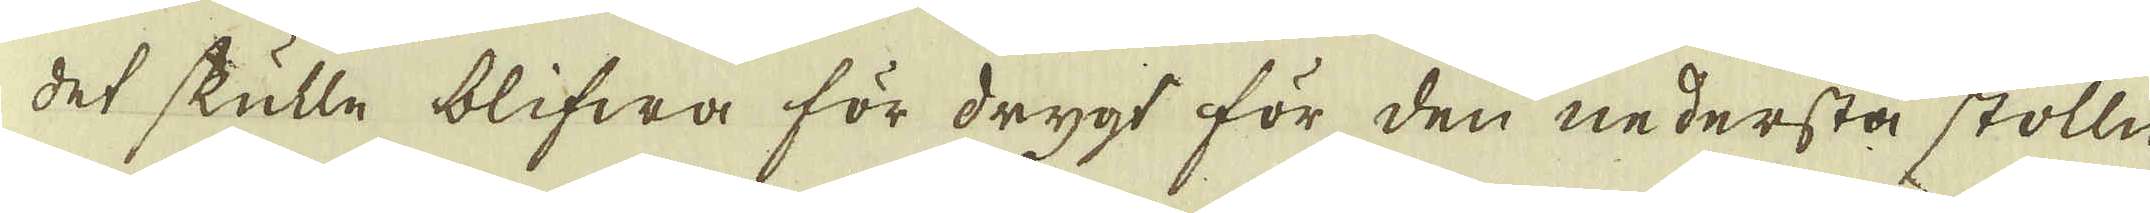det skulle blifwa för drygt för den nedersta stolln,
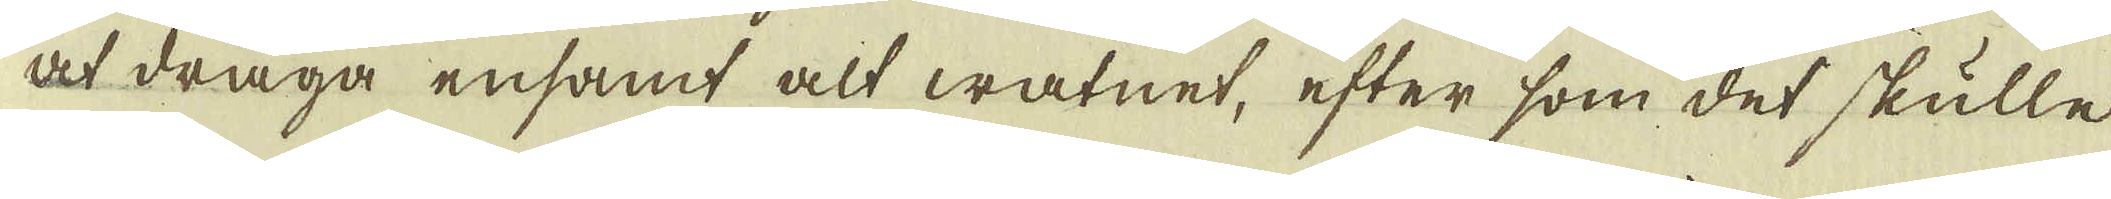at draga ensamt alt watnet, efter som det skulle
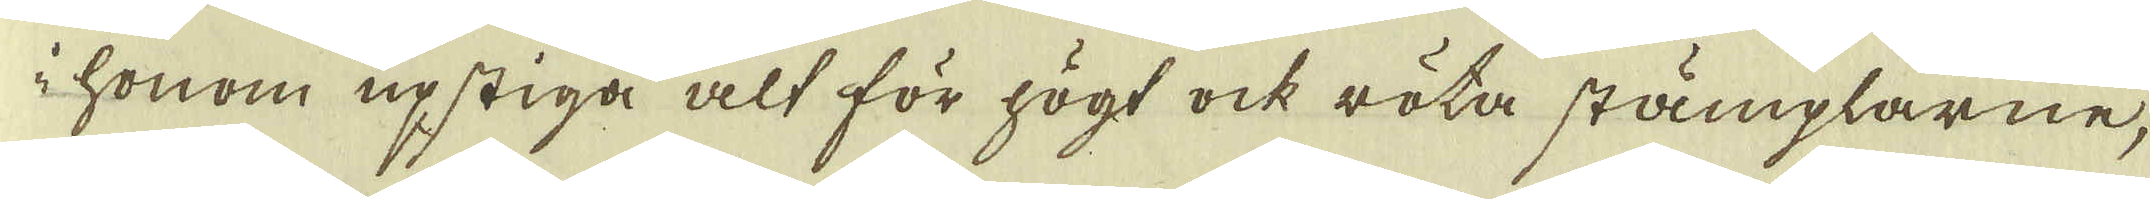i honom upstiga alt för högt ock röta stämplarne,
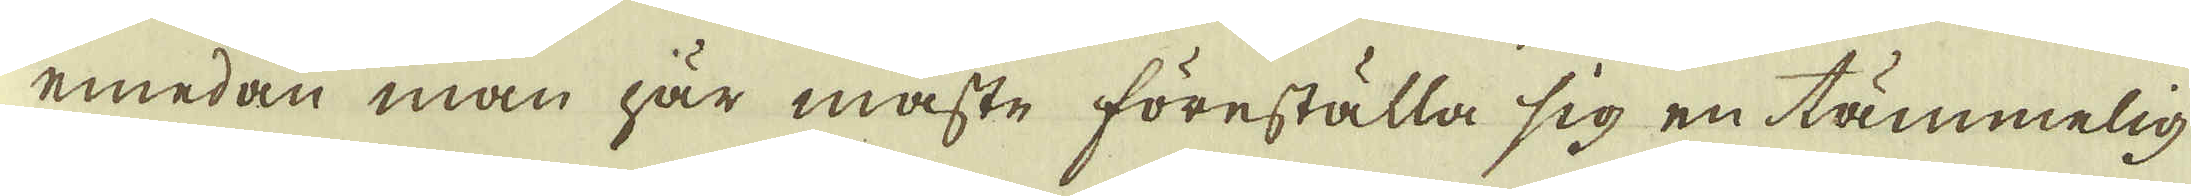emedan man här måste föreställa sig en tämmelig
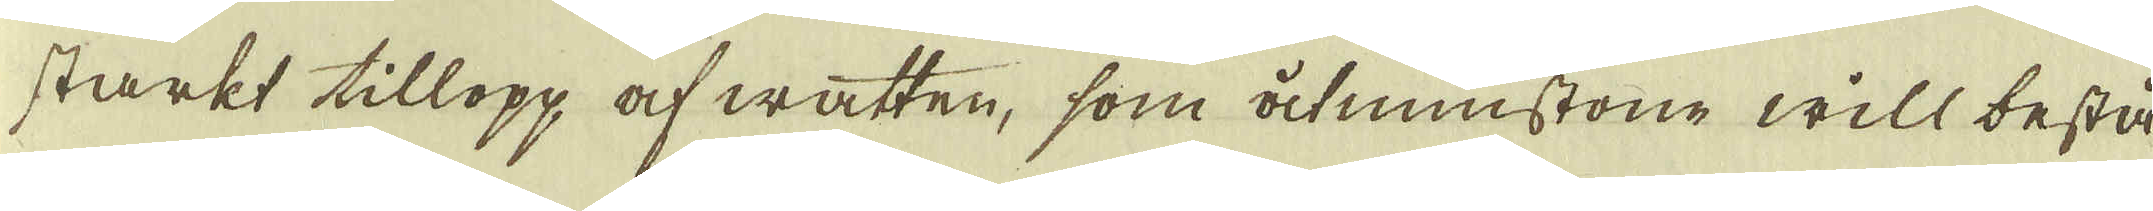starkt tillopp af watten, som åtminstone will bestå
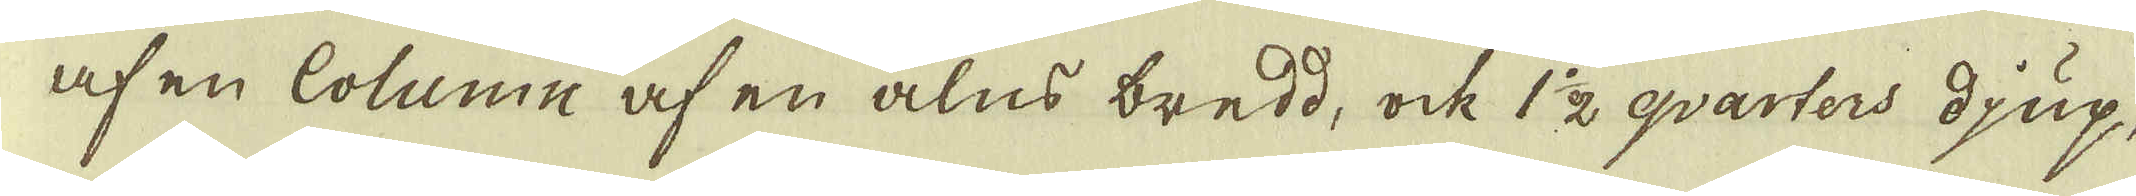af en Column af en alns bredd, ock 1 1/2 qvarters djup,
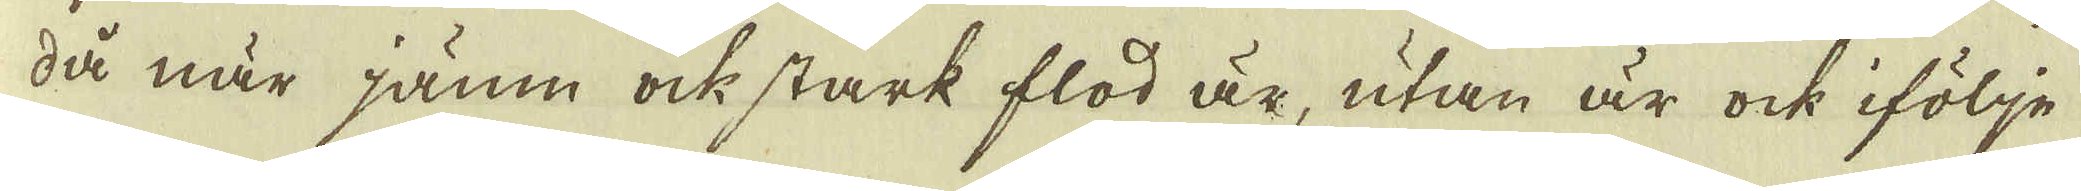då när jamn ock stark flod är, utan är ock ifölje
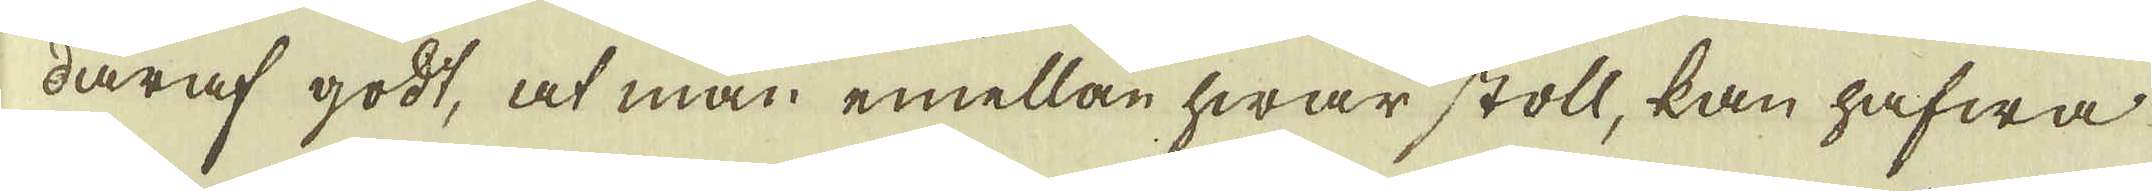däraf godt, at man emellan hwar stoll, kan hafwa
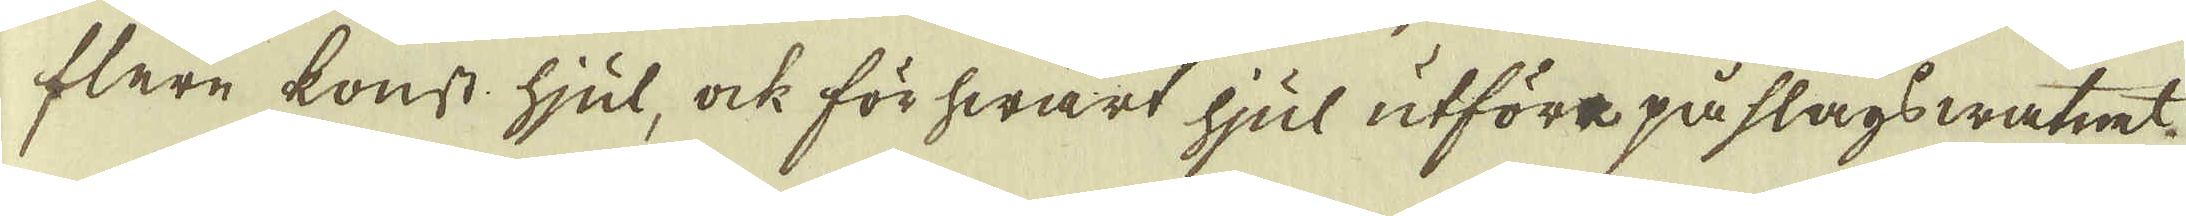flere konst hjul, ock för hwart hjul utföra på slags watnet
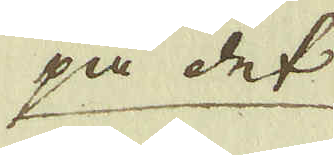på det
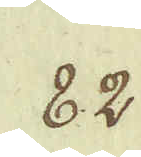82.
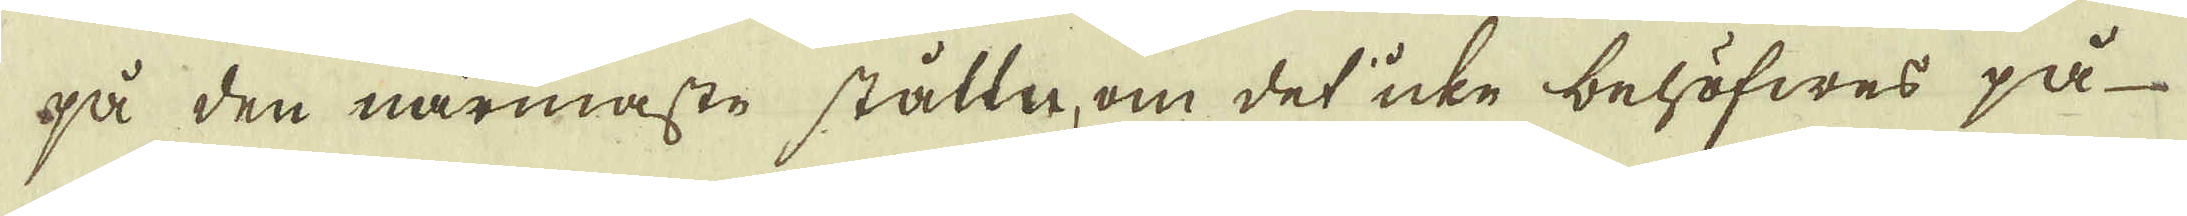på den närmaste stålln, om det icke behöfwes på-
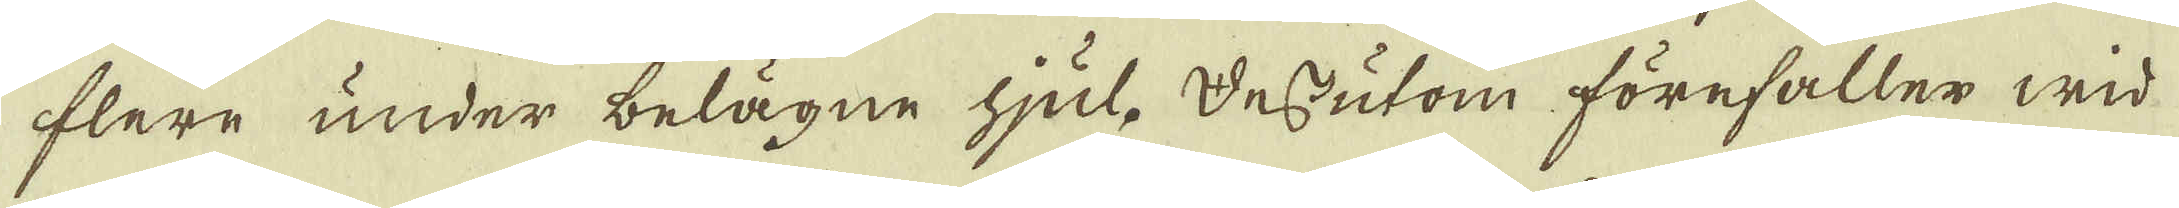flere under belägne hjul. Dessutom förefaller wid
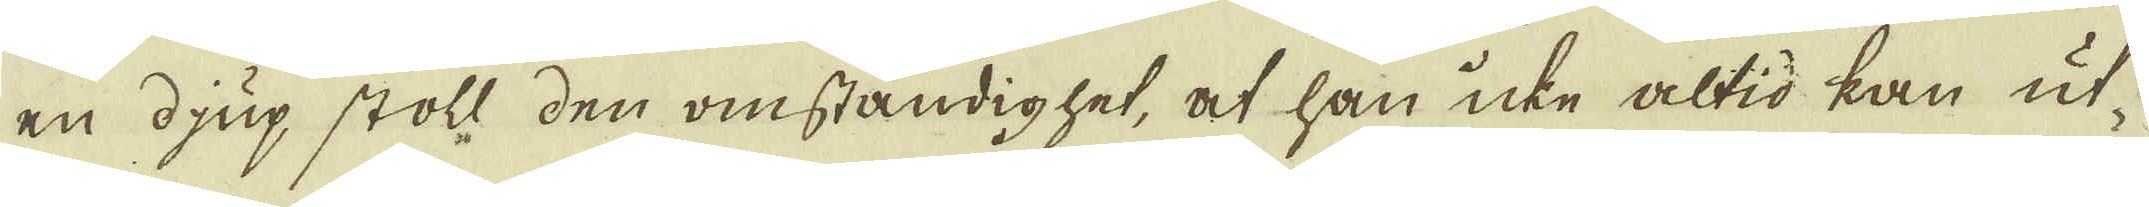en djup stoll den omständighet, at han icke altid kan ut-
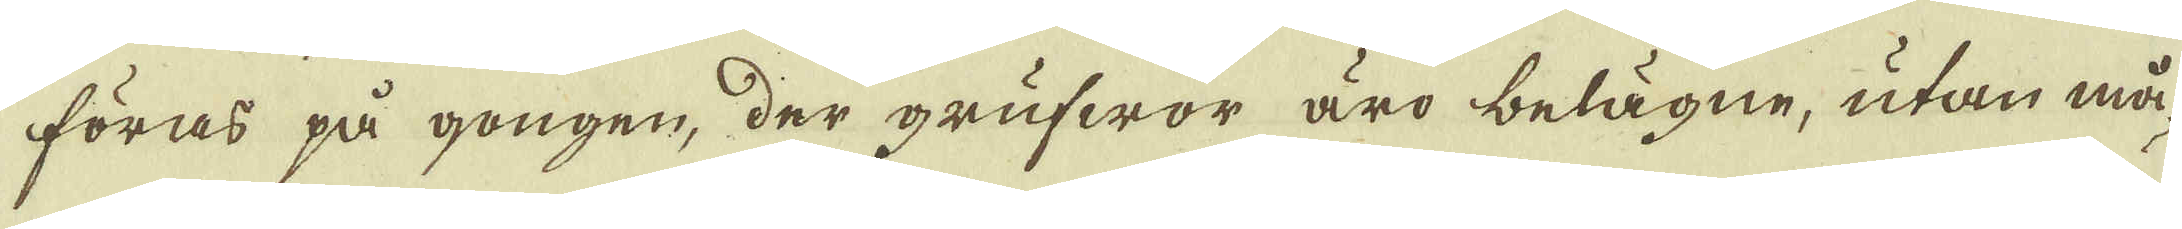föras på gongen, der grufwor äro belägne, utan må-
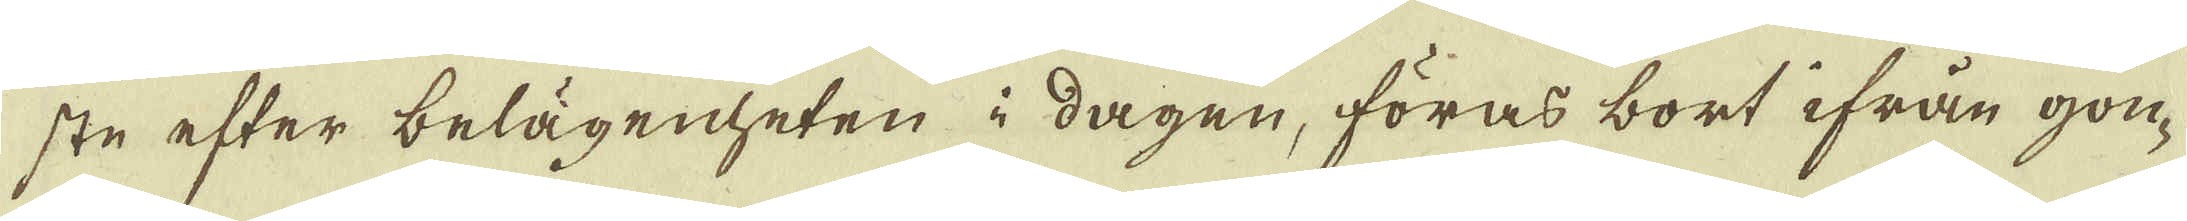ste efter belägenheten i dagen, föras bort ifrån gon-
